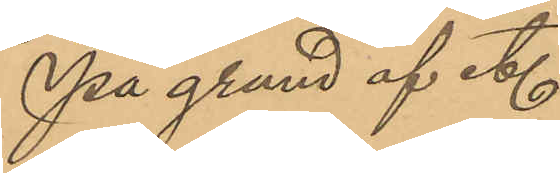På grund af et.
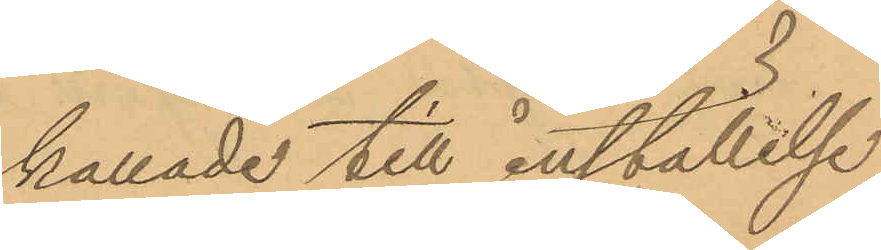kallade till inställelse
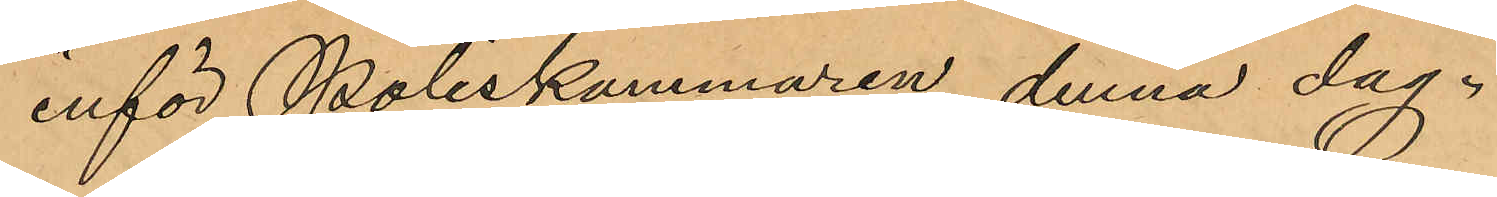inför Poliskammaren denna dag.
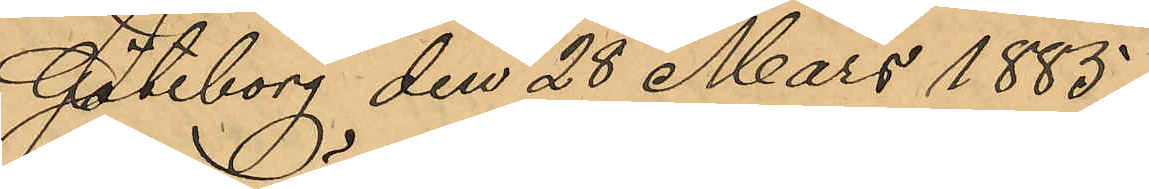Göteborg den 28 Mars 1885.
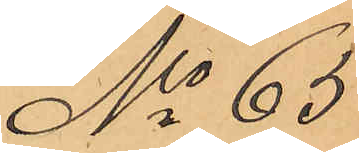No 65
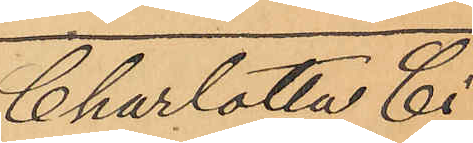Charlotta Ci¬
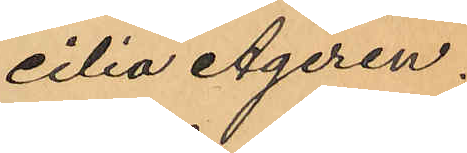cilia Ageren.
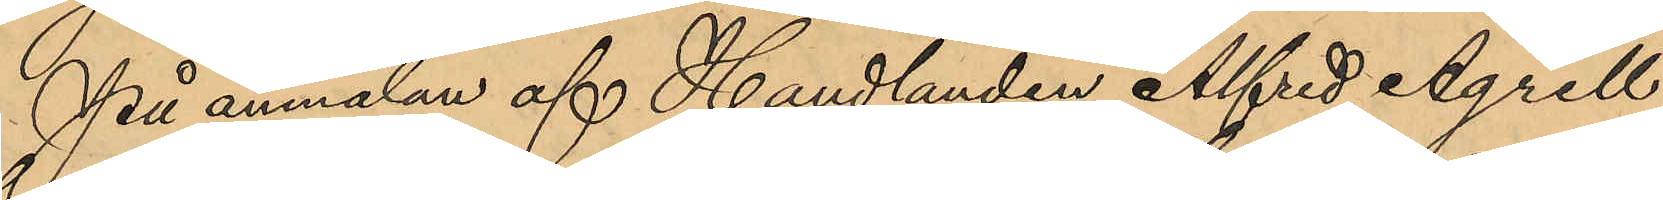På anmälan af Handlanden Alfred Agrell
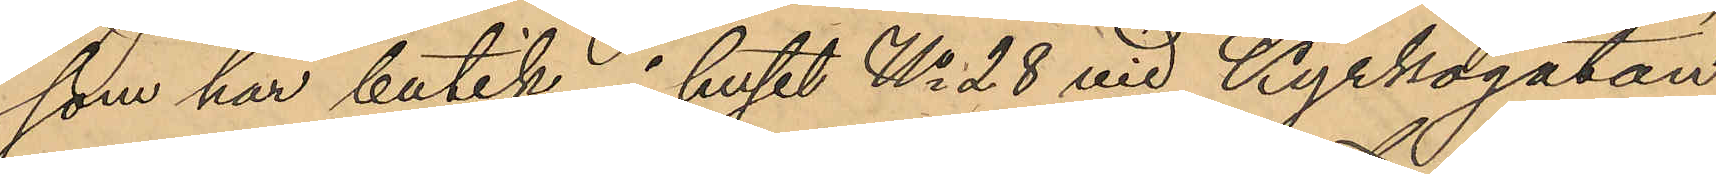som har butik i huset No 28 vid Kyrkogatan
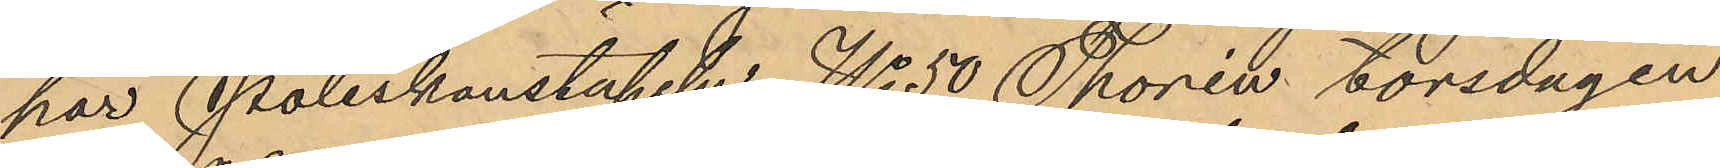har Poliskonstapeln No 50 Thorén torsdagen
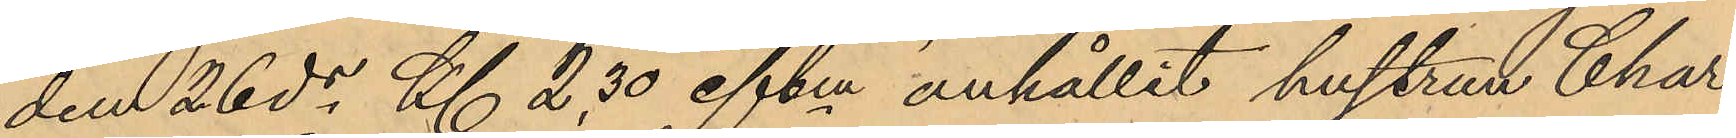den 26 ds Kl. 2.30 eftm anhållit hustru Char¬
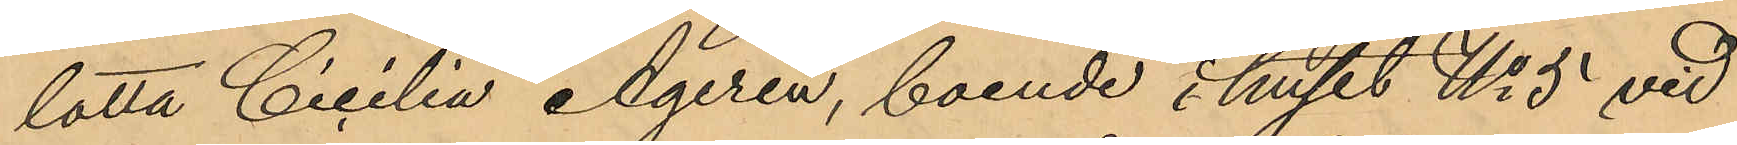lotta Cicilia Ageren, boende i huset No 5 vid
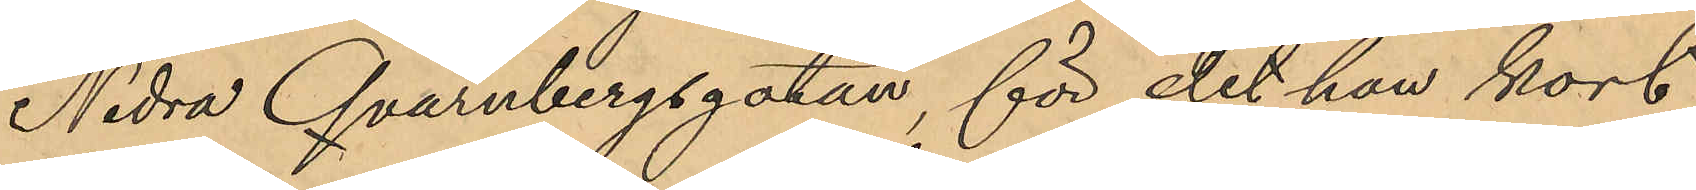Nedra Qvarnbergsgatan, för det han kort
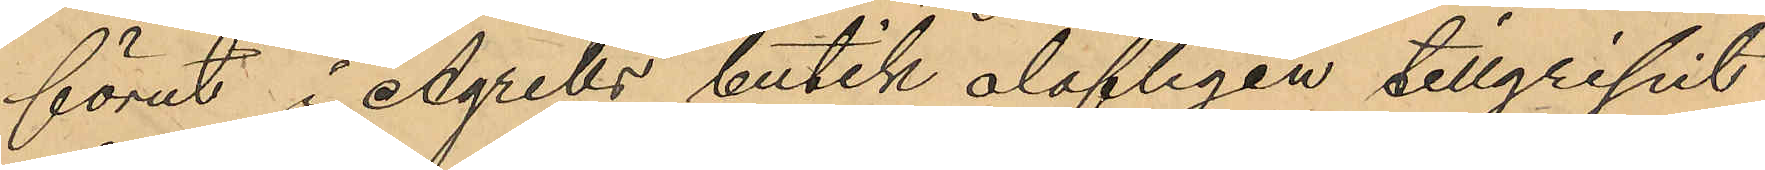förut i Agrells butik olofligen tillgripit
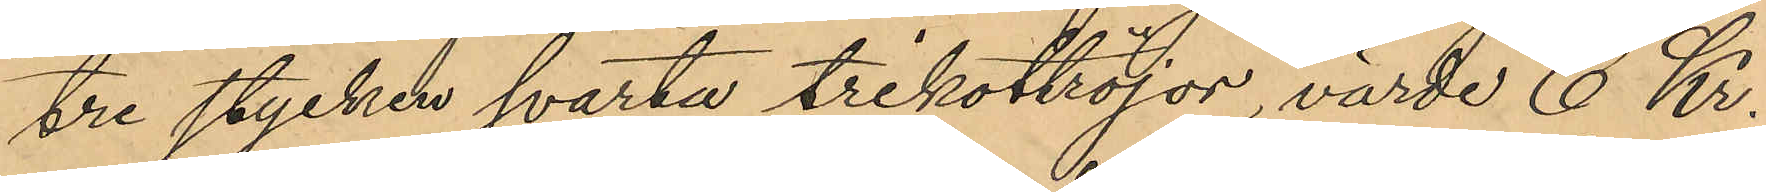tre stycken svarta trikottröjor, värde 6 Kr.
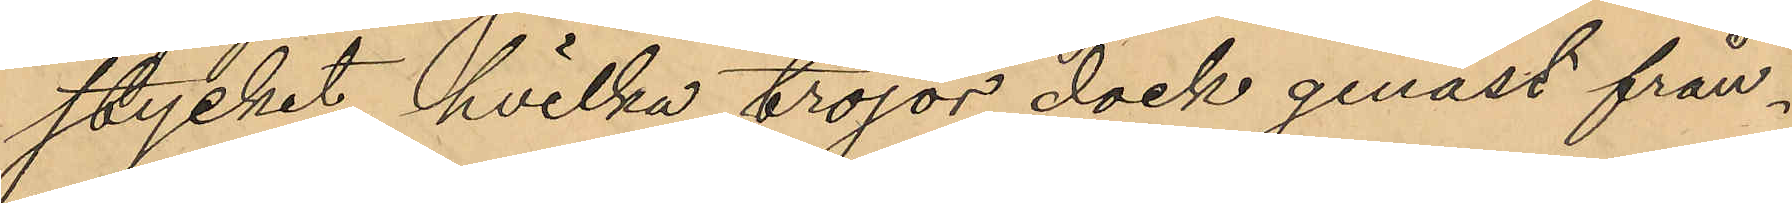stycket, hvilka tröjor dock genast från¬
